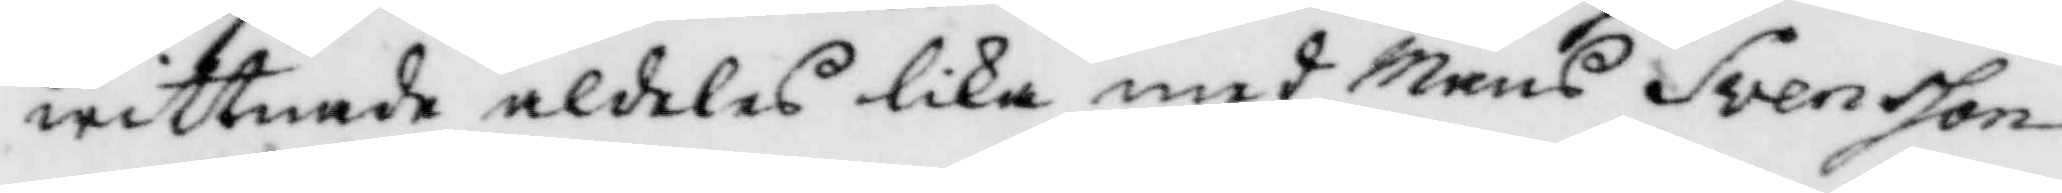wittnade aldeles lika med Måns Svensson
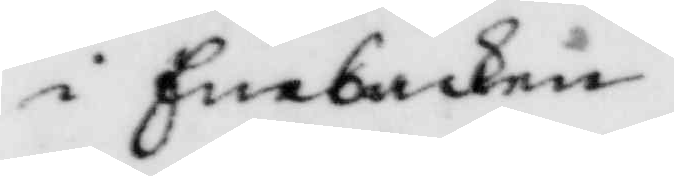i Enebacken.
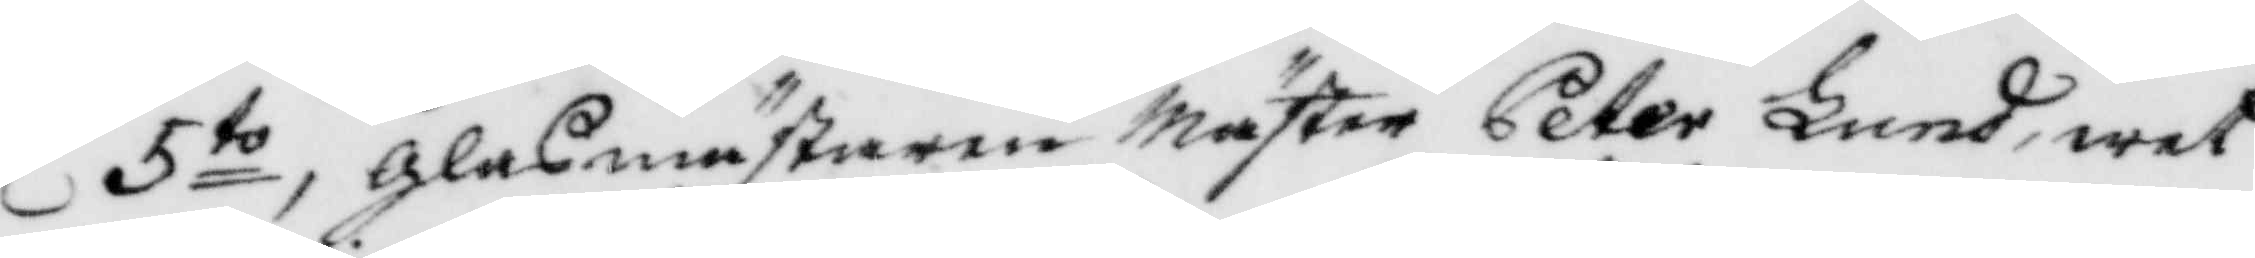5to, glasmästaren Mäster Peter Lund, wet
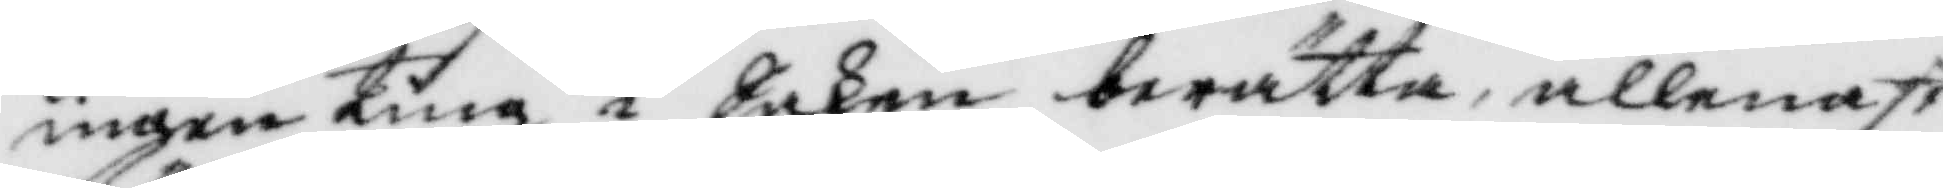ingenting i Saken berätta, allenast
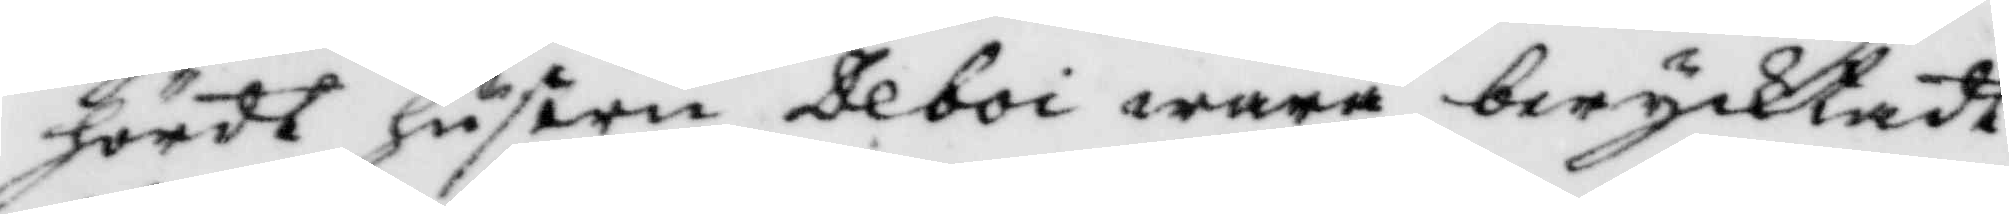hördt hustru Deboi wara berycktadt
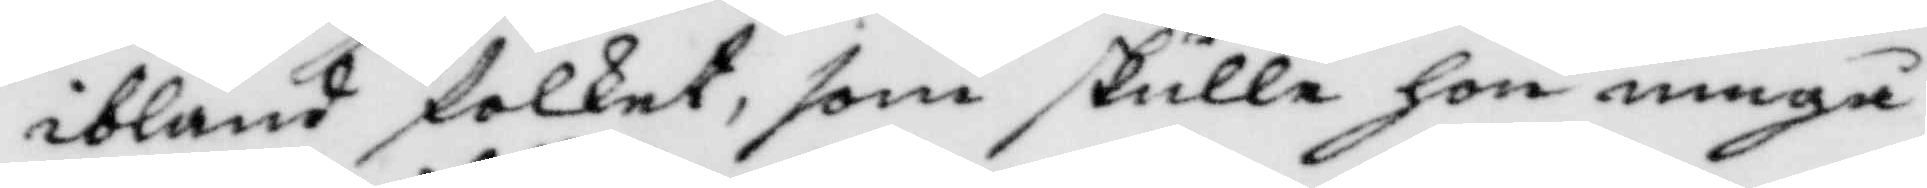ibland folket, som skulle hon umgå
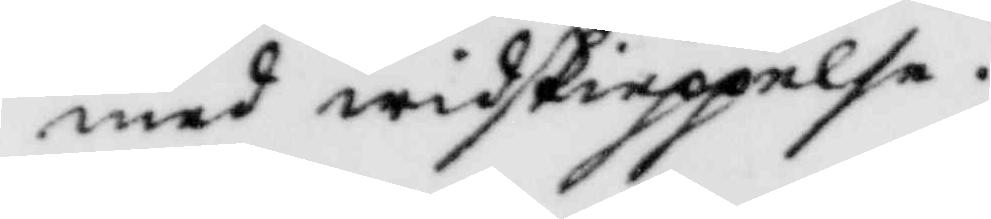med widskieppelse.
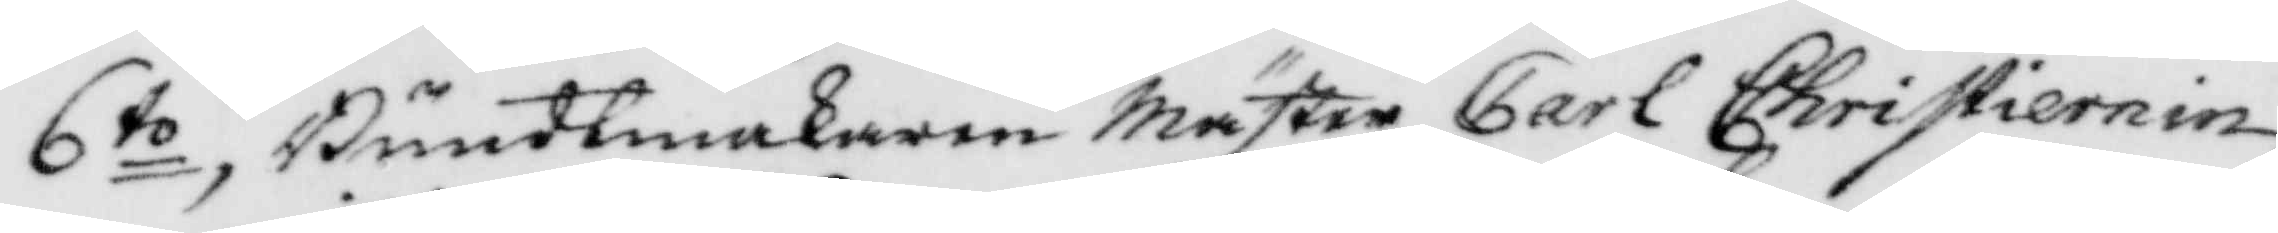6to, Buntmakaren Mäster Carl Christiernin,
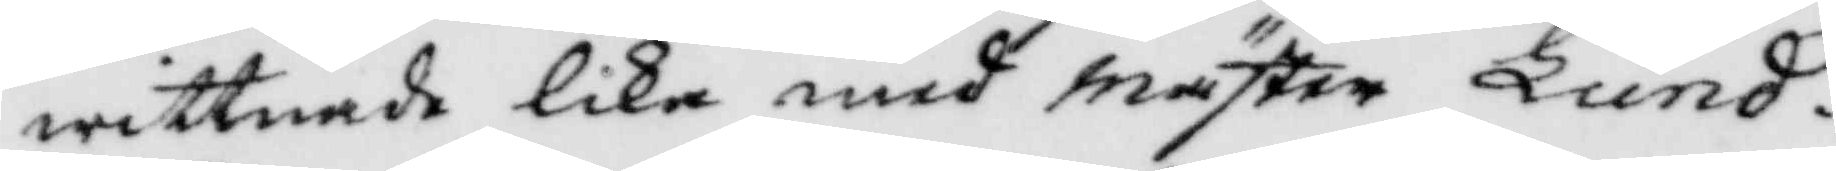wittnade lika med Mäster Lund.
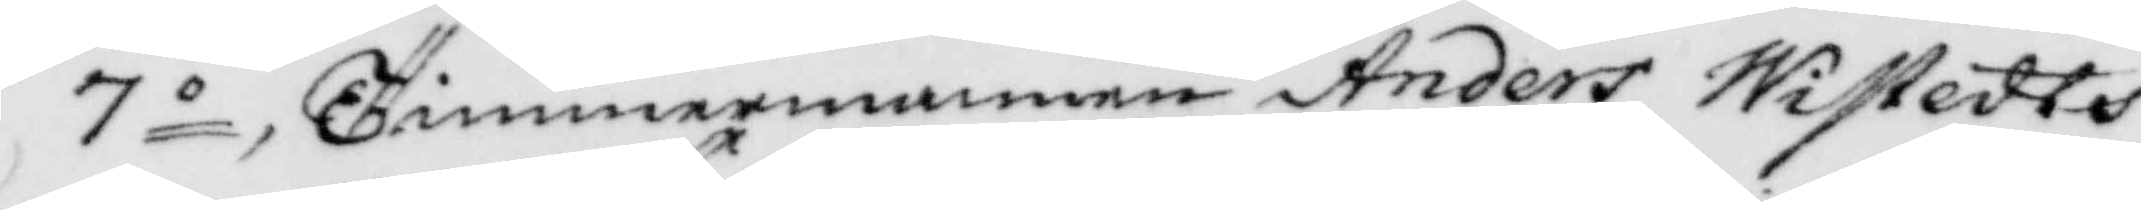7o Timmermannen Anders Wistedts
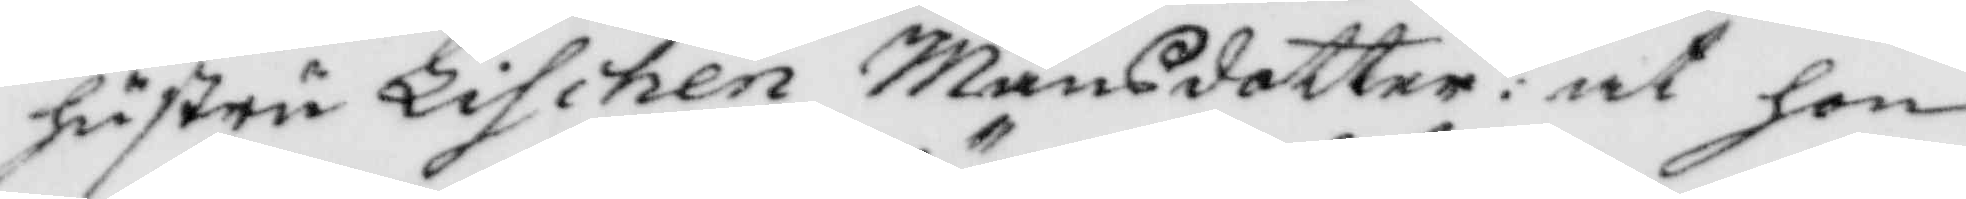hustru Lischen Månsdotter: at hon
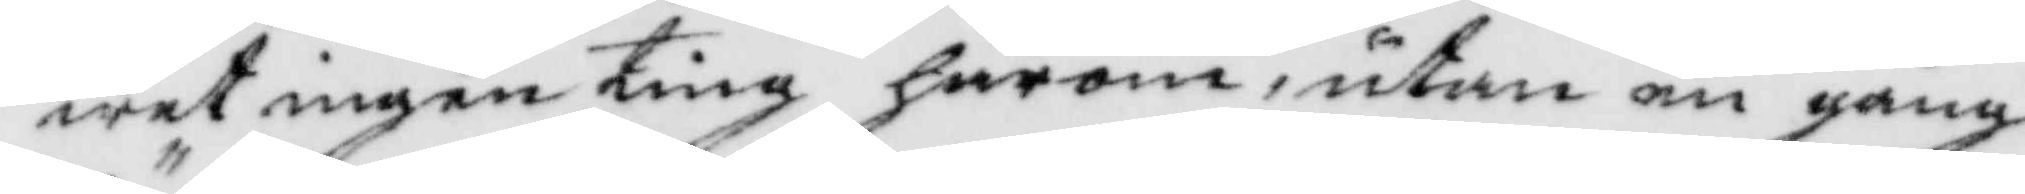wet ingenting härom, utan en gång
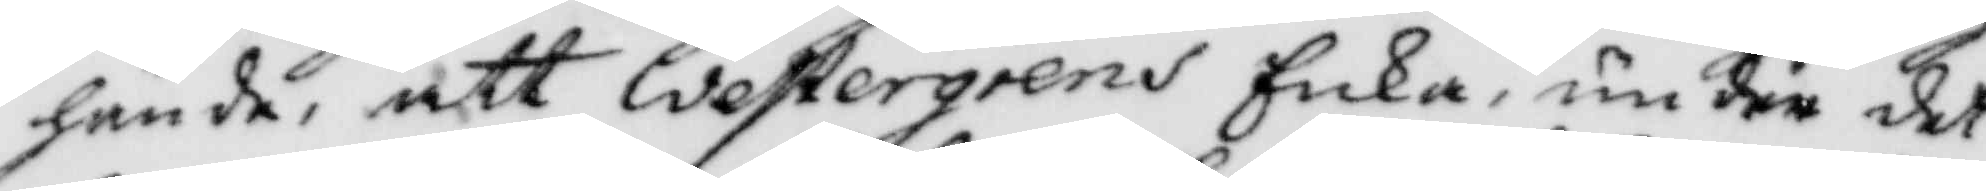hände, att Westergrens Enka, under det
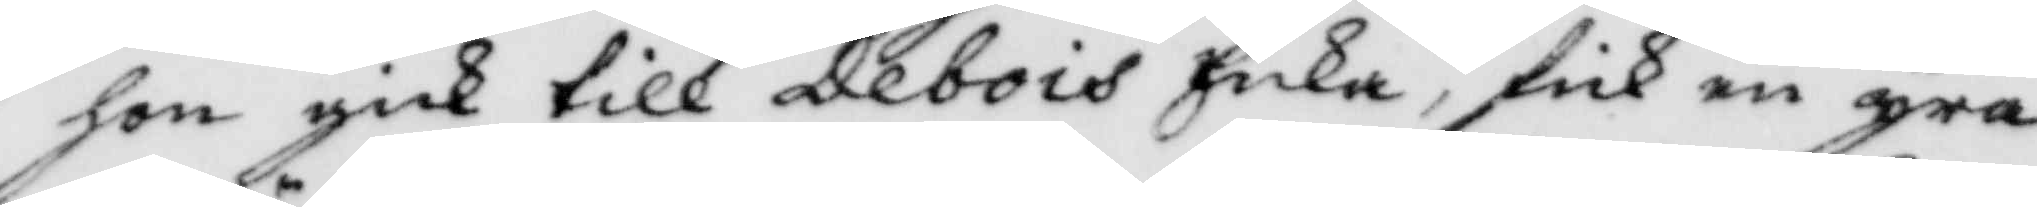hon gick till Debois Enka, fick en yra
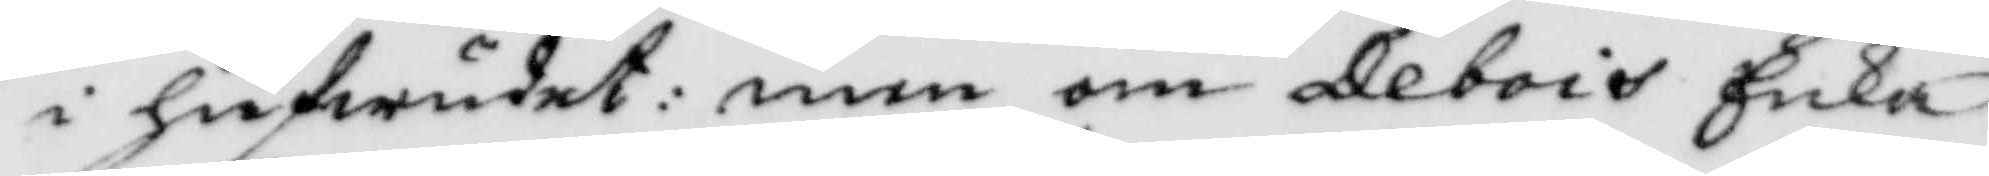i hufwudet: men om Debois Enka
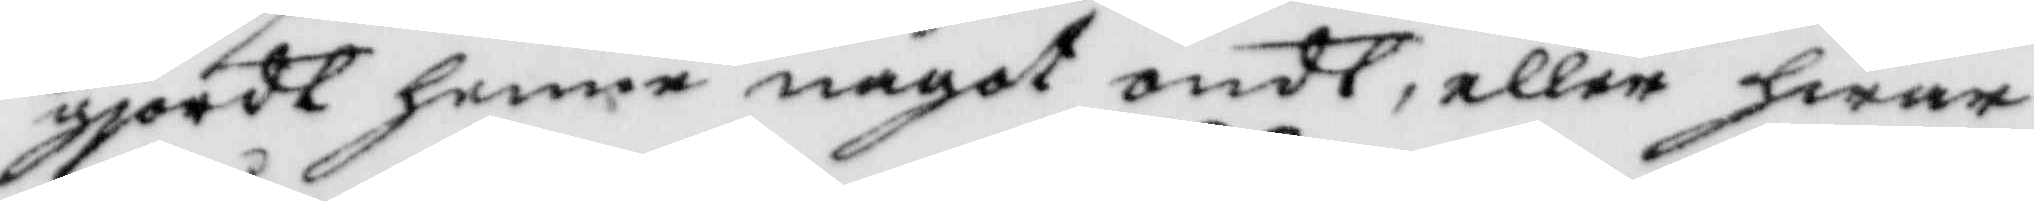gjordt henne något ondt, eller hwar
